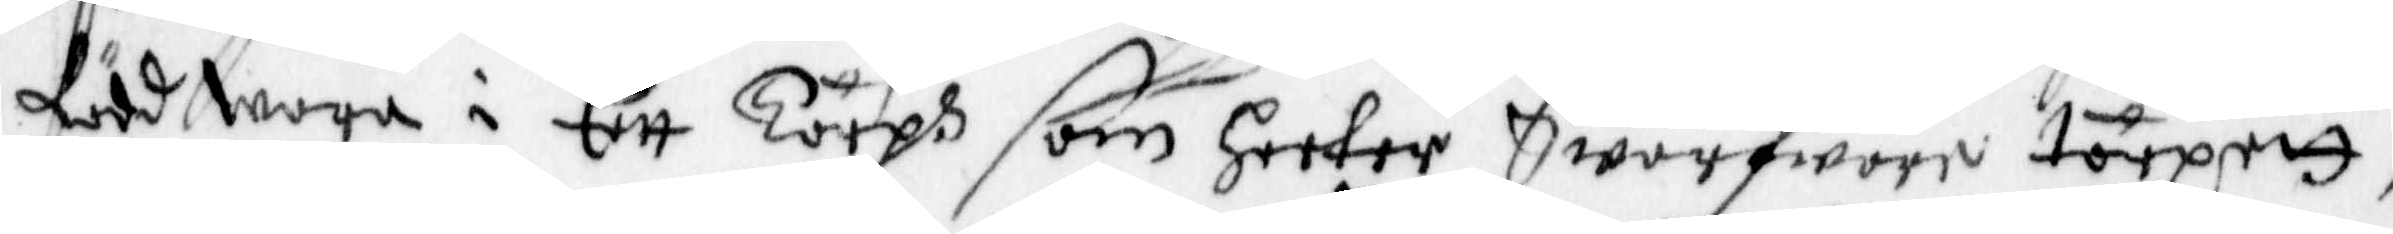född wara i Ett Torph som heeter Swarfware torpett,
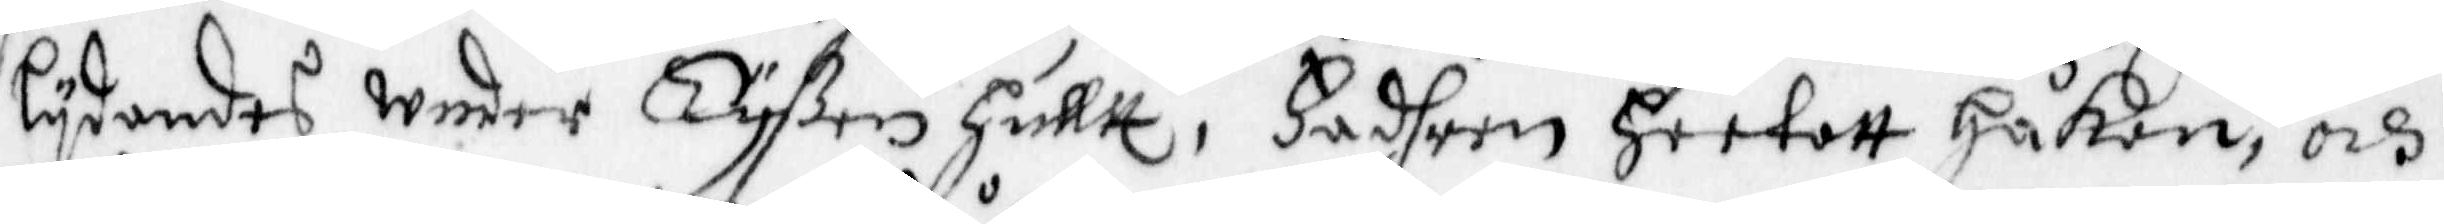lydandes under Tyßen hulltt, Fadern Heetatt Håkan, och
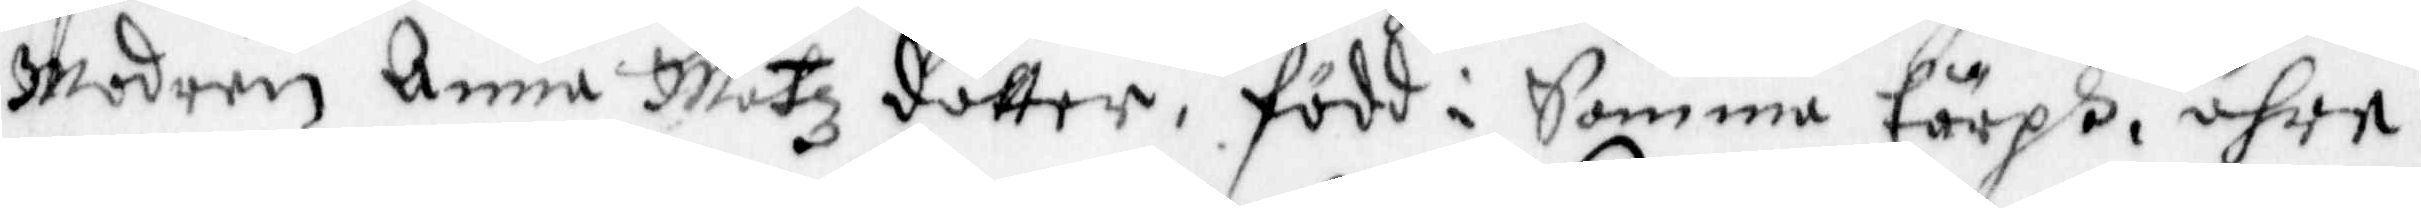Modren Anna Matzdotter, född i Samma tårph, ähre
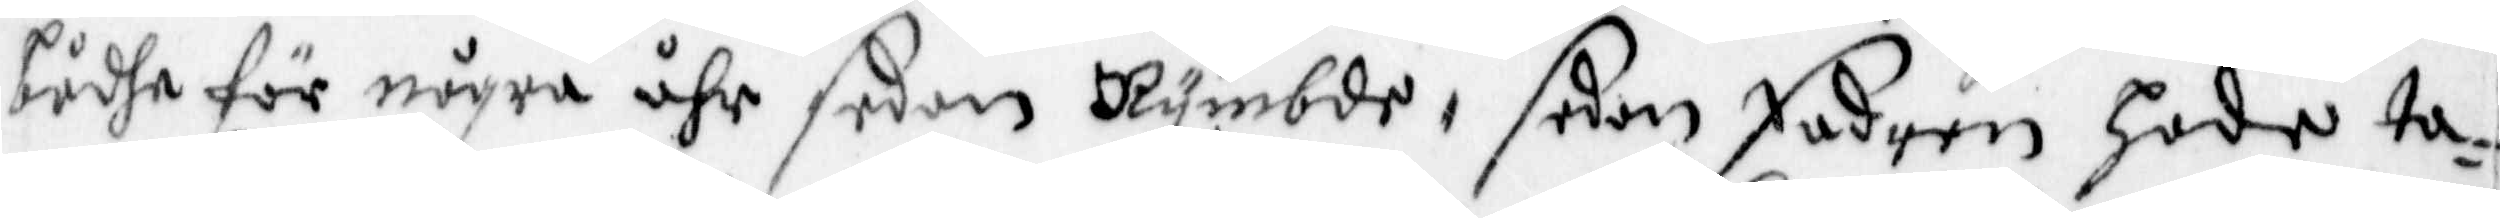bådhe för några åhr sedan Rymbde, sedan fadren Hade ta¬
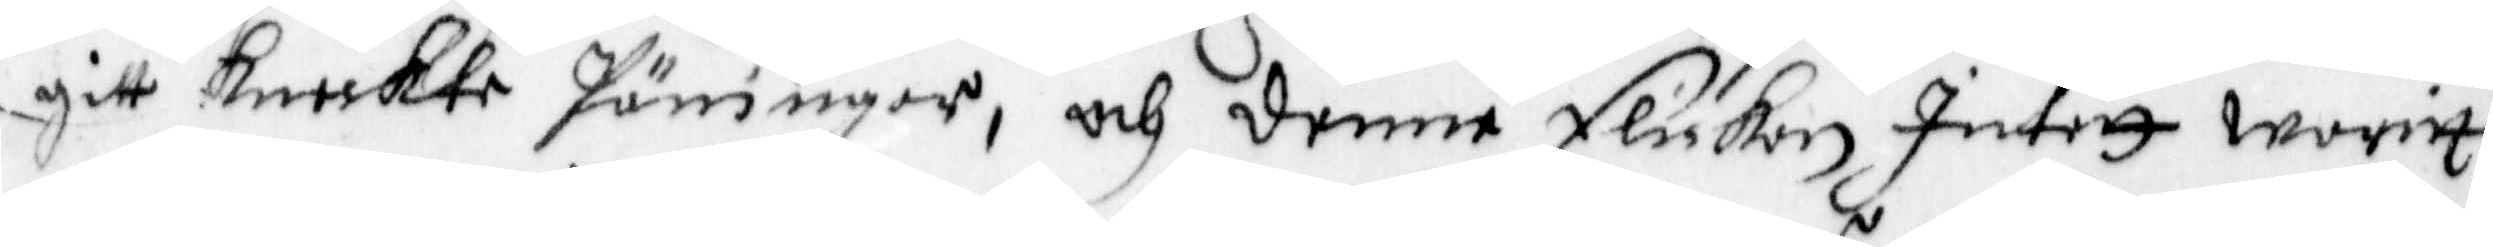gitt Kneckte pänningar, och denne Flickan Intett warit
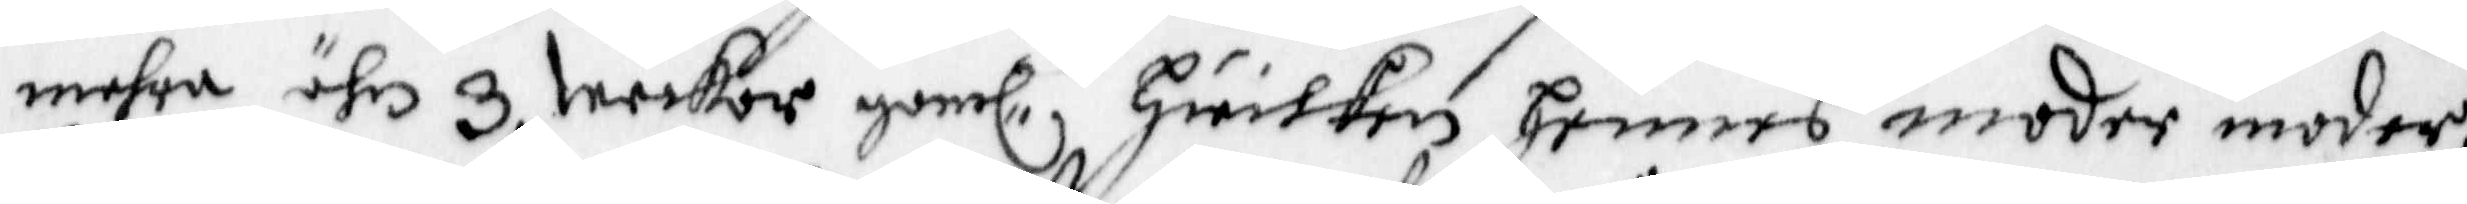mehra ähr 3 weckor gaml, Hwilken hennes moder moder,
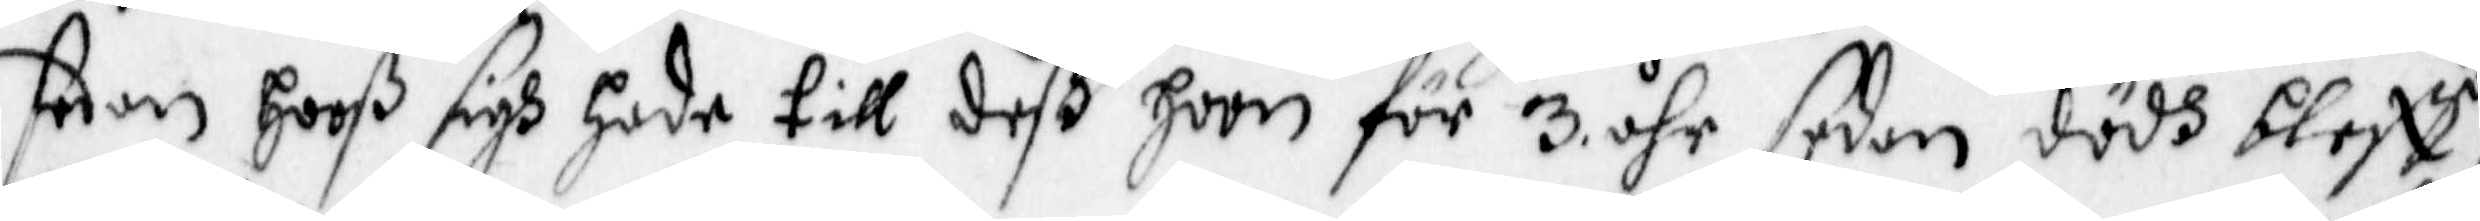sedan Hooß sigh hade till deß hon för 3 åhr sedan dödh bleff,
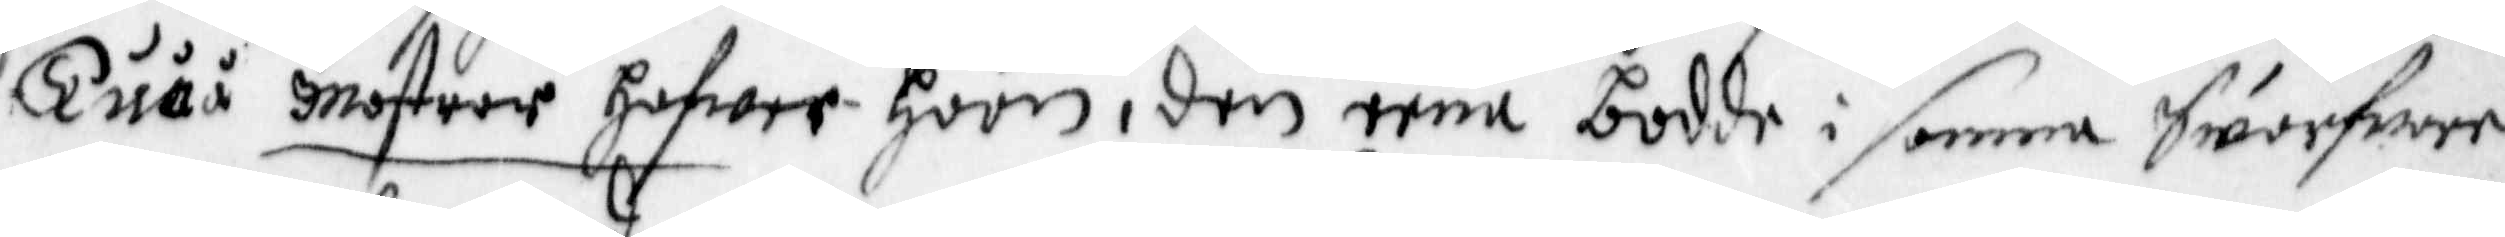Tuåå Mostrar hafwer hoon, den eena bodde i samma Swarfwer
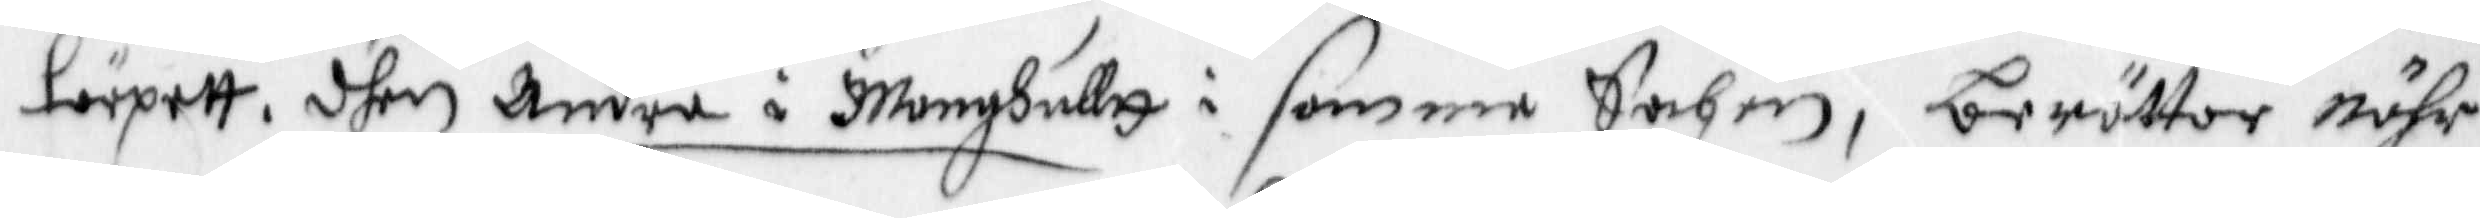törpett, dhen Andre i Monghulltt i samma Sochn, berättar nähr
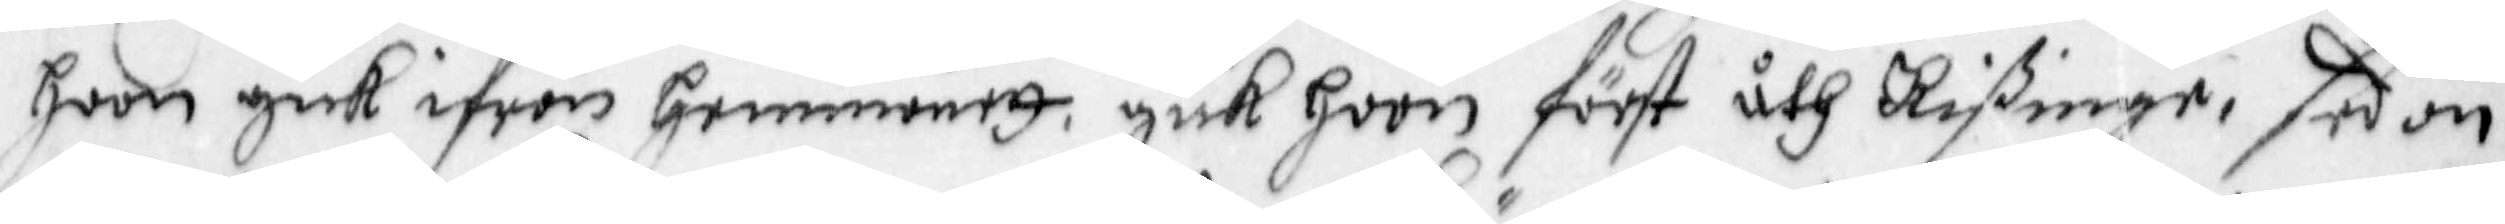hoon gick ifrån Hemmanett, gick hoon först åth Rißinge, sedan
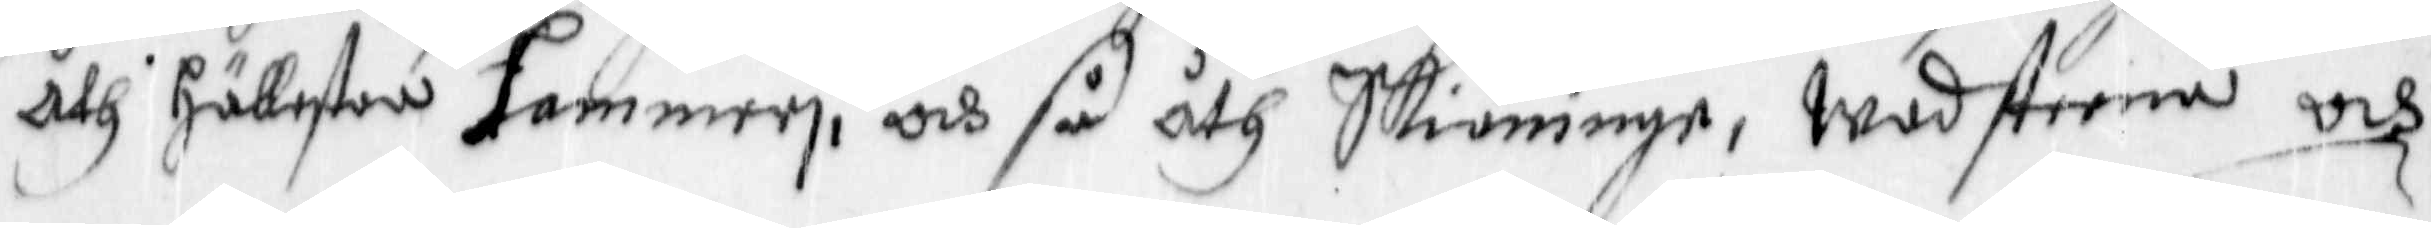åth Hällestan Hammeri, och så åth Skiöninge, Wadsteena och
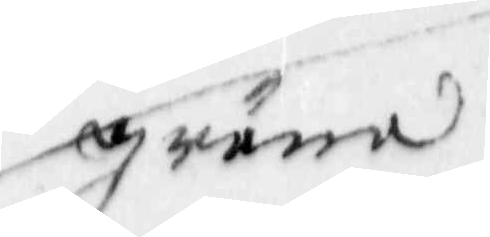gräna
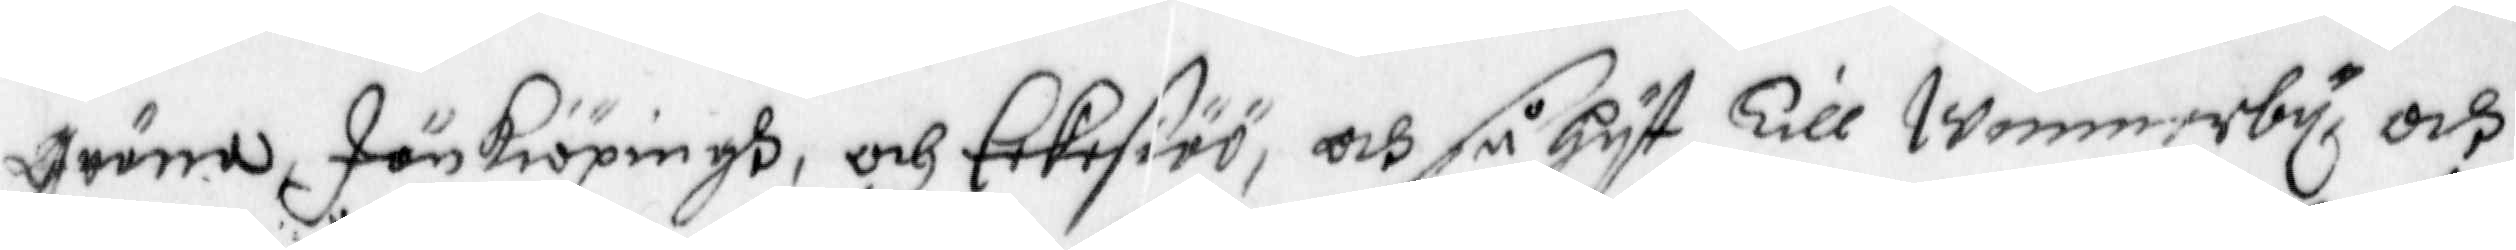gräna Jönkiöpingh, och Eekesiöö, och så hyt Till Wimmerby, och
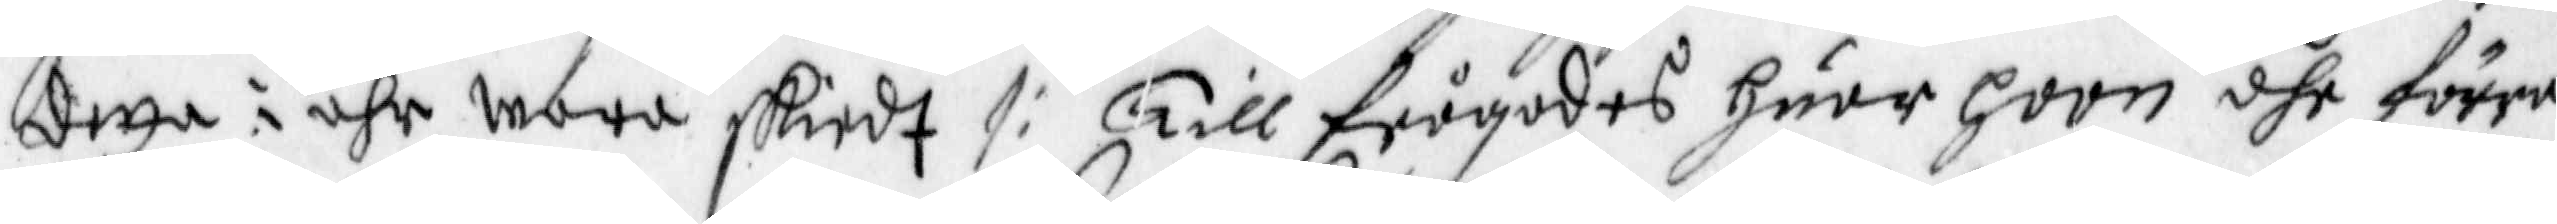detta i åhr wara skiedt /: Tillfrågades huar hoon dhe förra
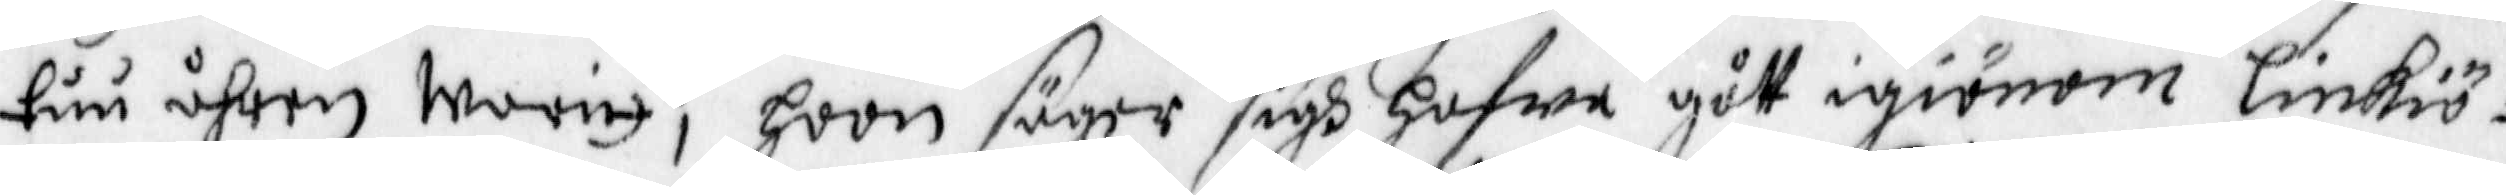tuu åhren waritt, hoon säyer sigh hafwa gått igiönom Linkiö¬
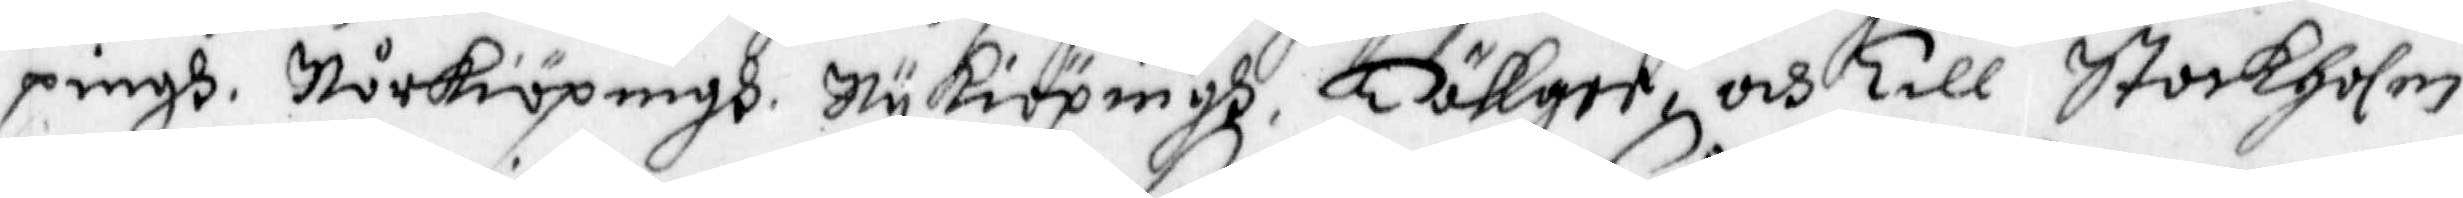pingh, Norkiöpingh, Nykiöpingh, Tällger och Till Stockholm
